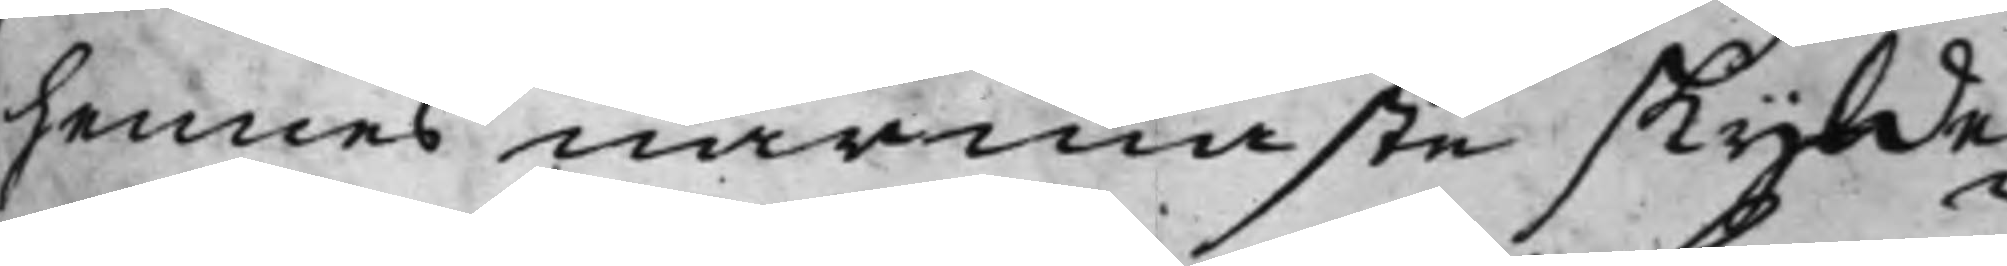hennes närmaste Skylde¬
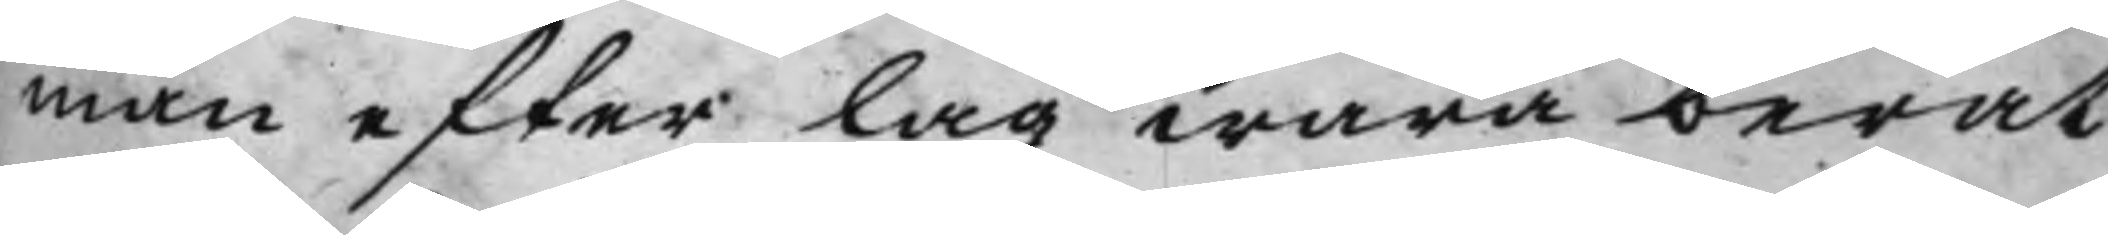man efter Lag wara berät¬
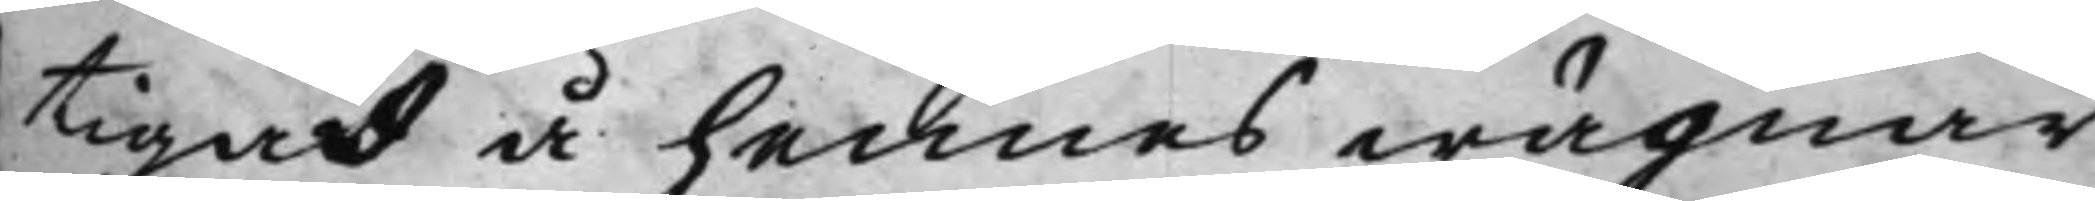tigad å hennes wägnar
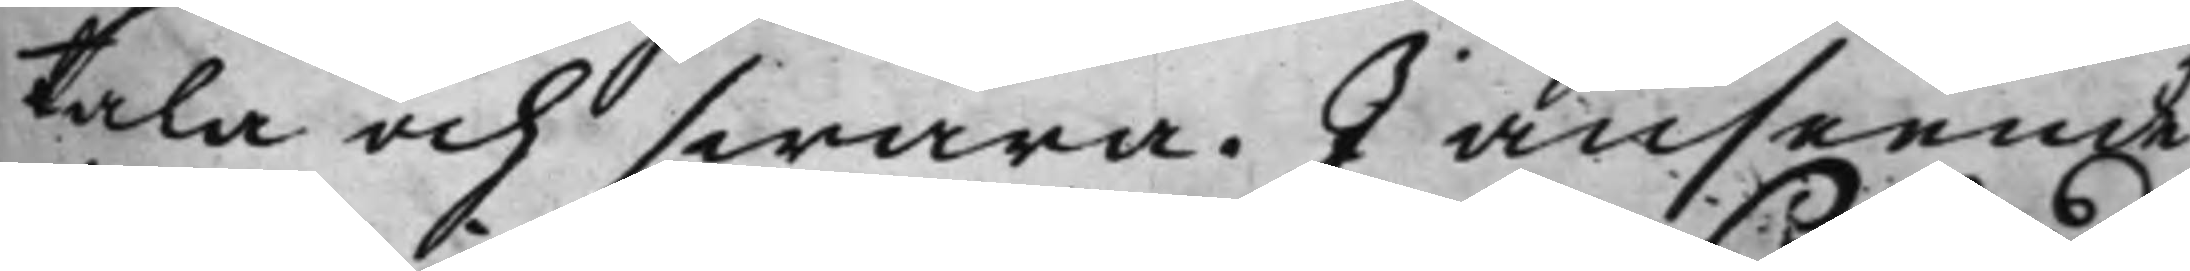tala och swara. I anseende
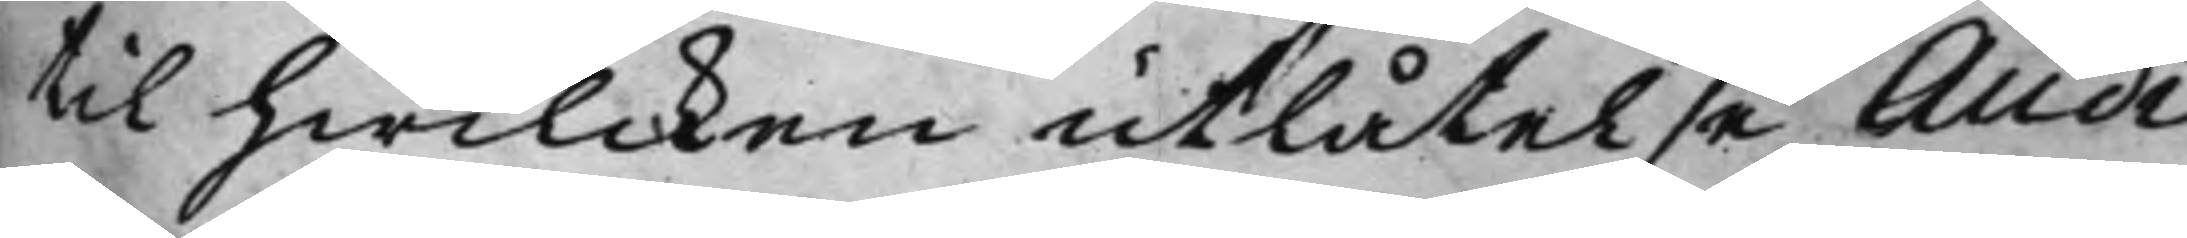til hwilcken utlåtelse Audi¬
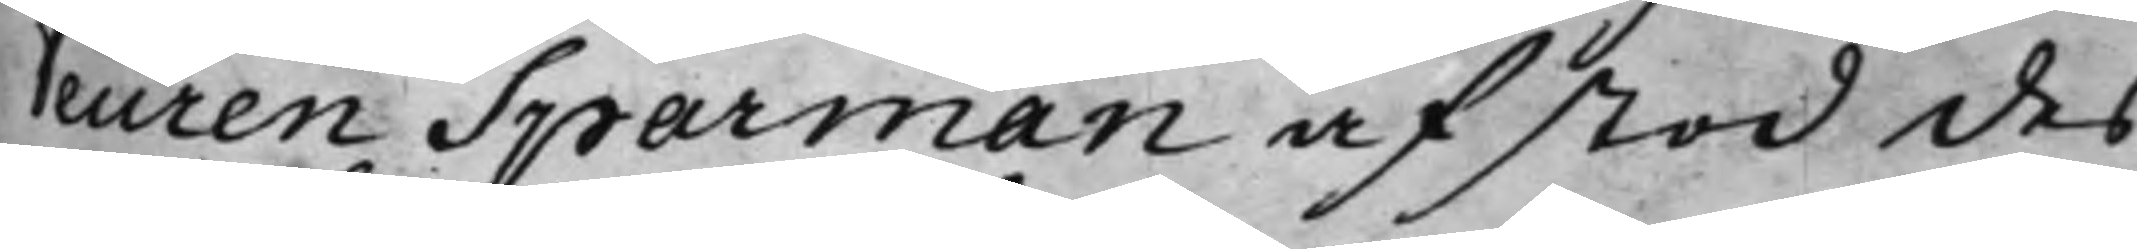teuren Sparman afstod des
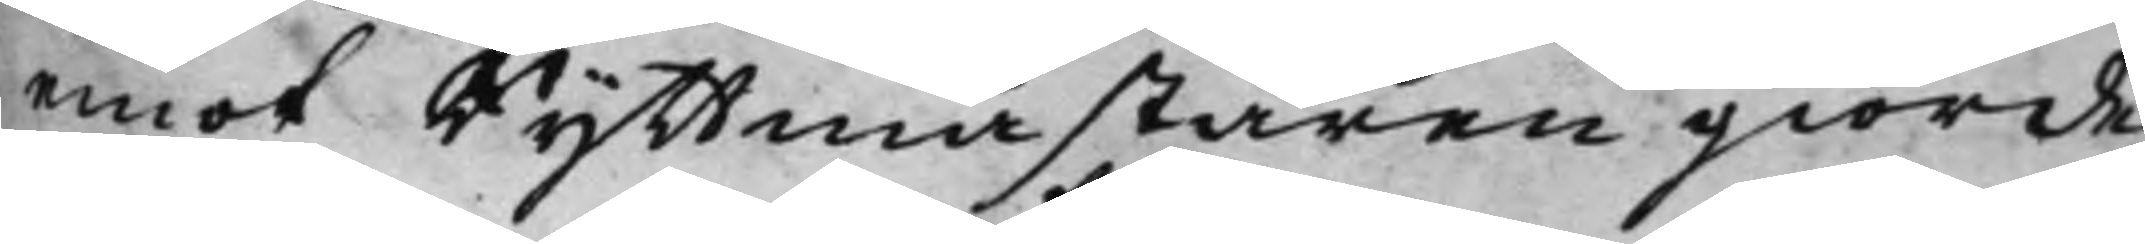emot Ryttmästaren giorde
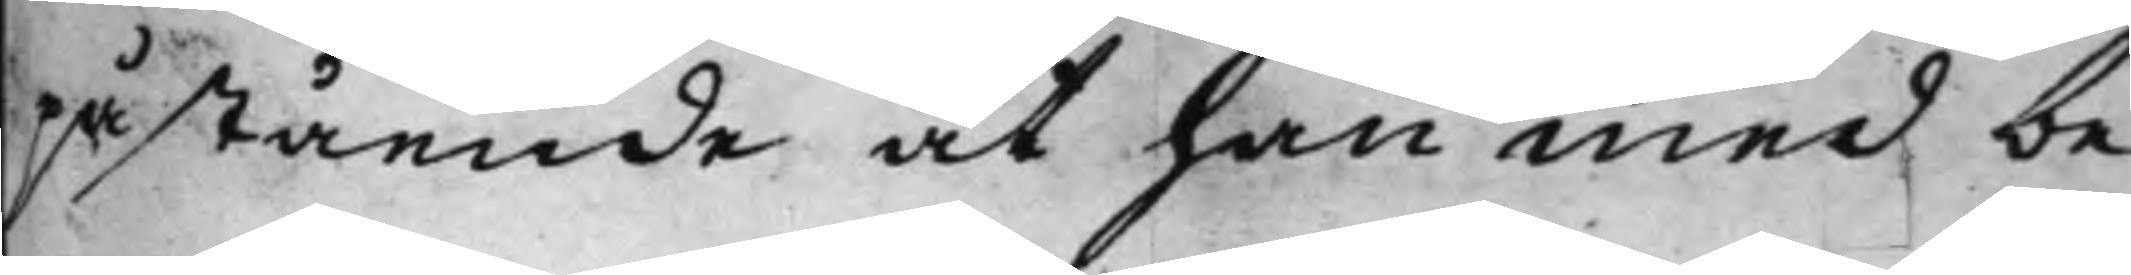påstående at han med be¬
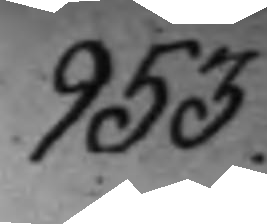953.
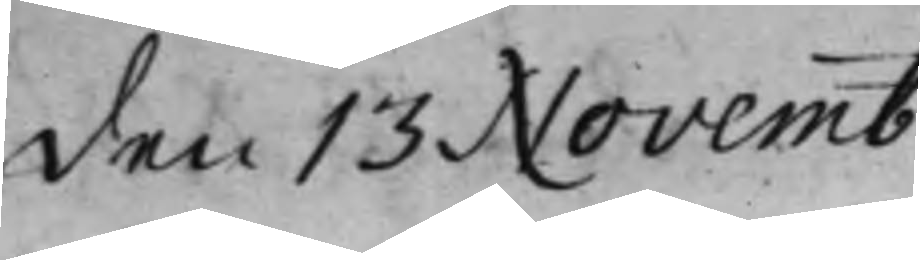den 13 Novemb
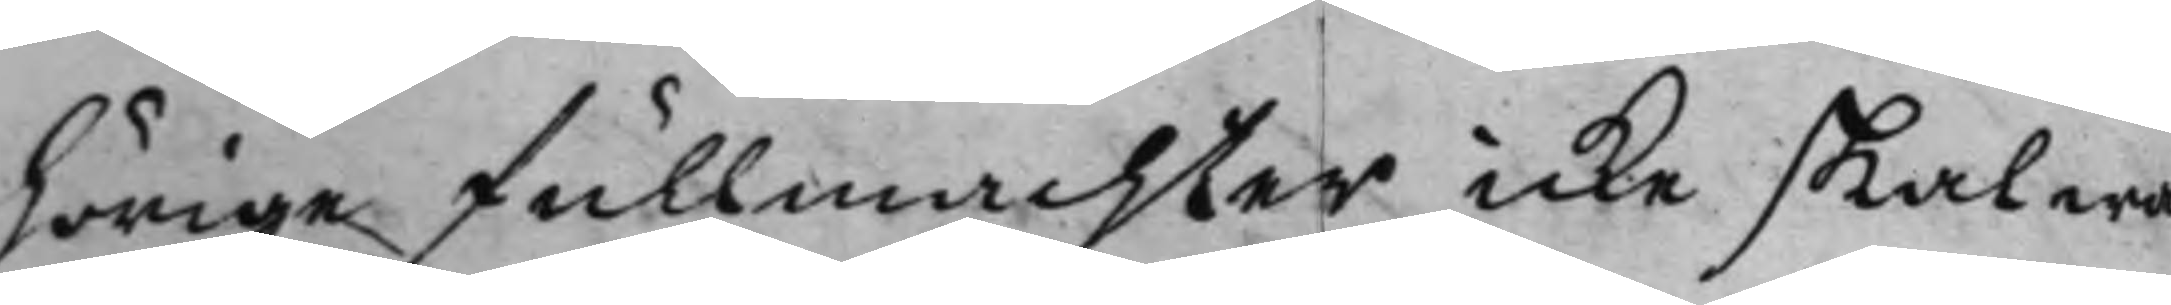hörige fullmachter icke skal wa¬
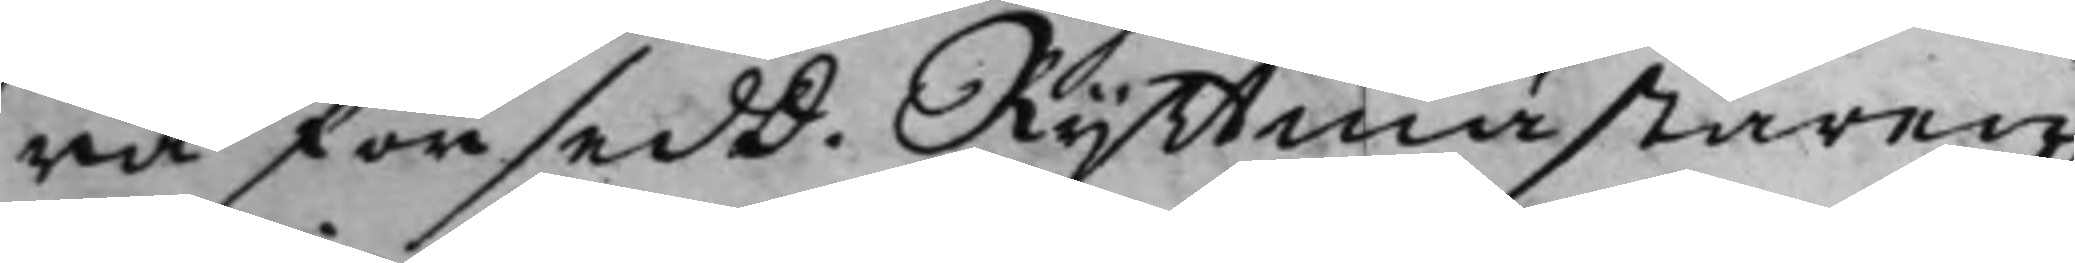ra försedd. Ryttmästaren
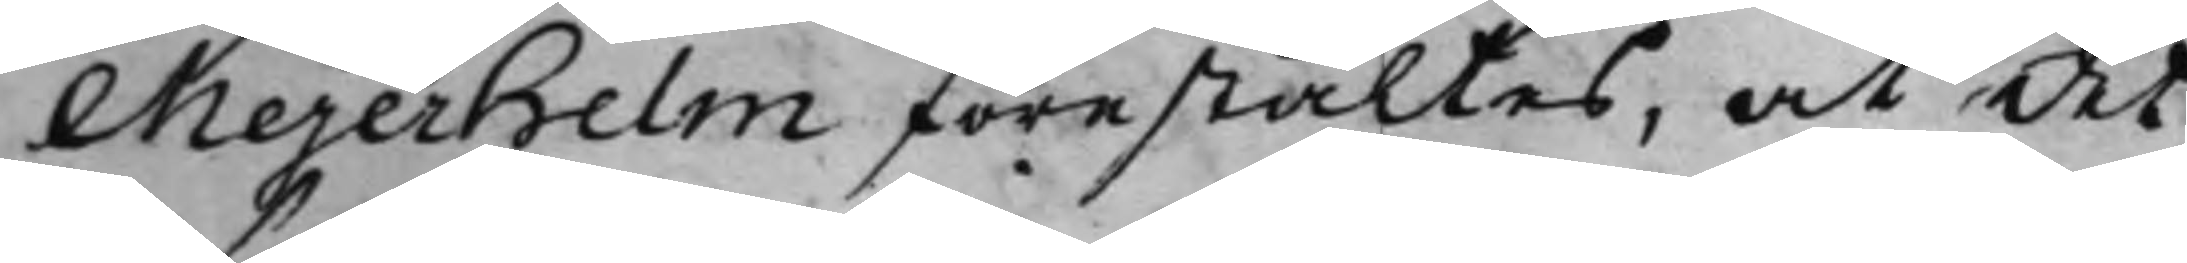Mejerhelm förestältes, at det
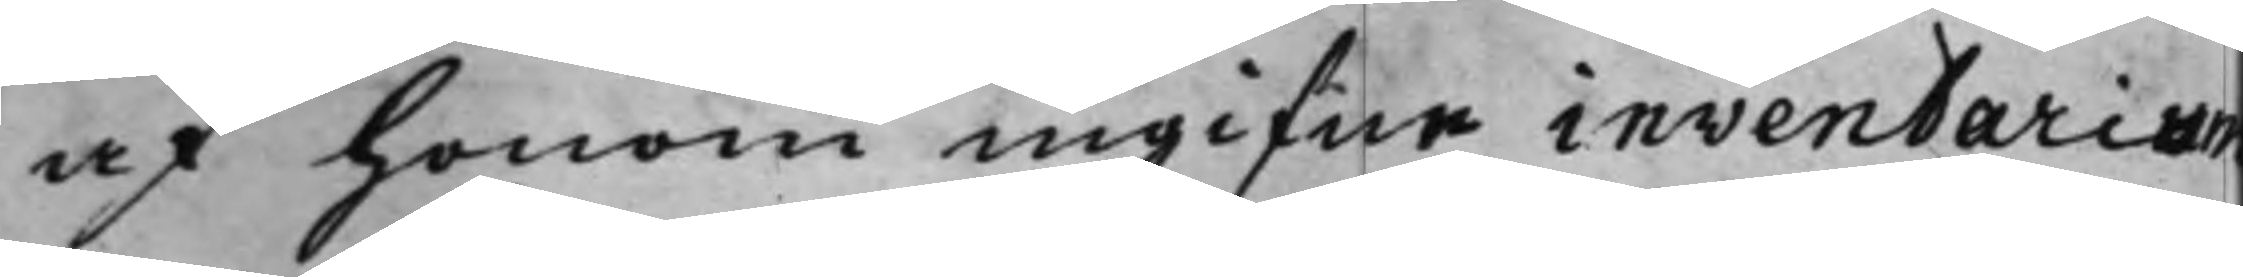af honom ingifne inventarium
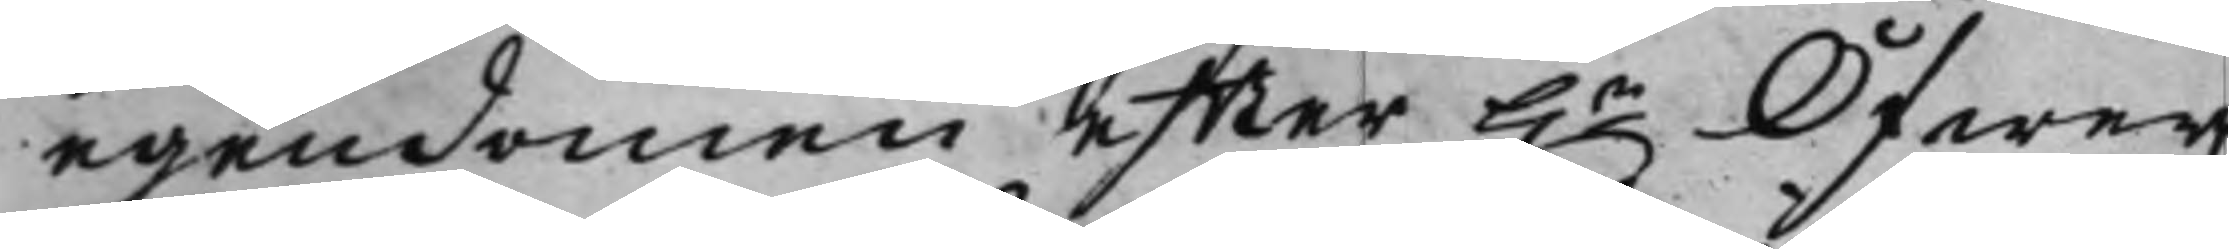egendomen efter h.r Öfwer¬
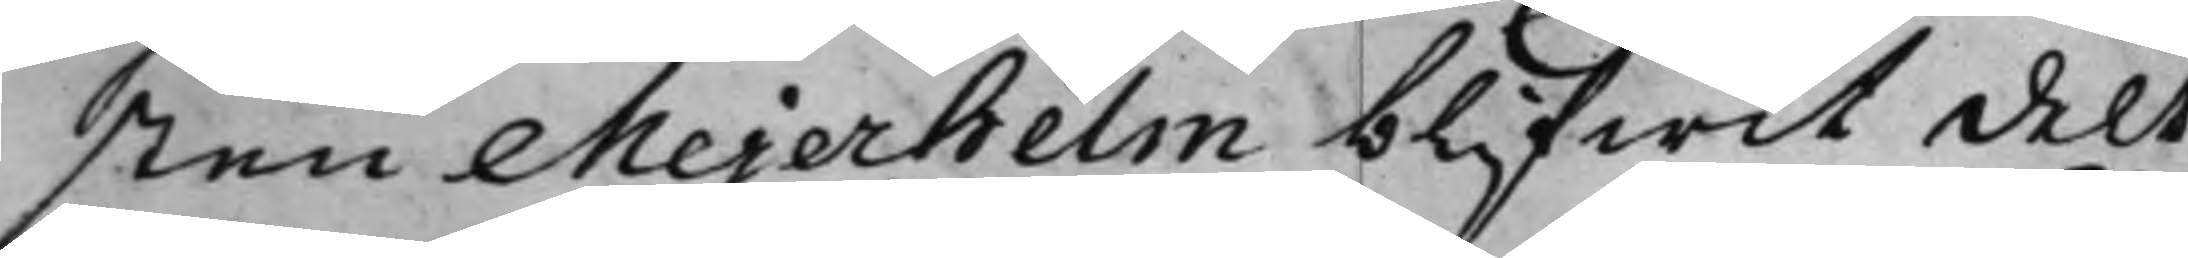sten Mejerhelm blifwit delt
